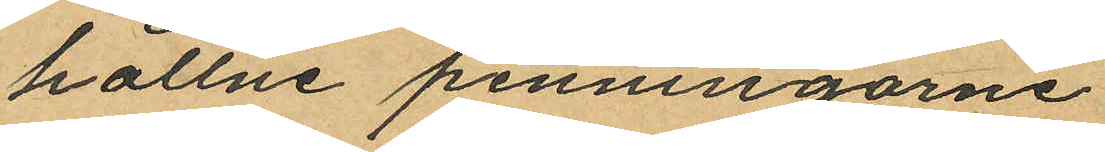hållne penningarne.
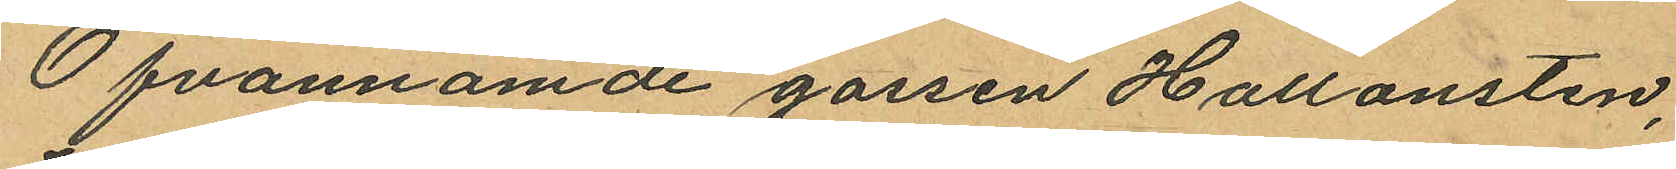Ofvannämde gossen Hallonsten,
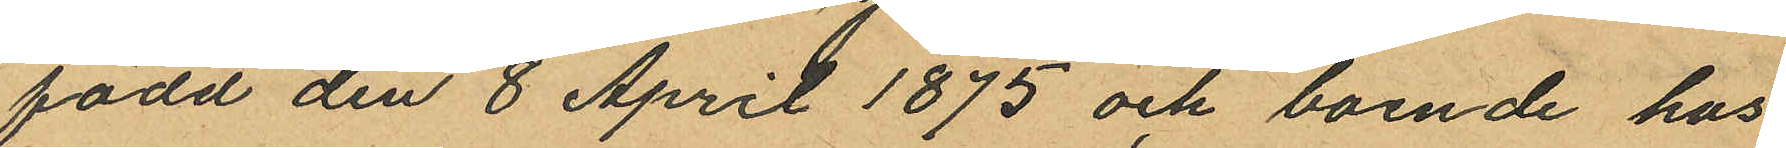född den 8 April 1875 och boende hos
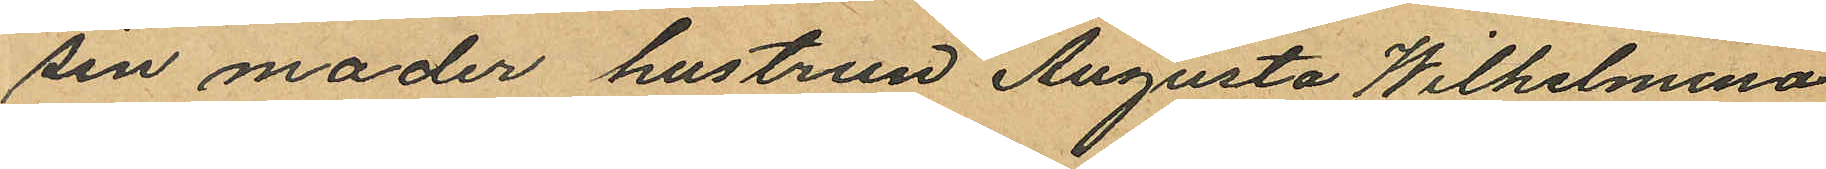sin moder hustrun Augusta Wilhelmina
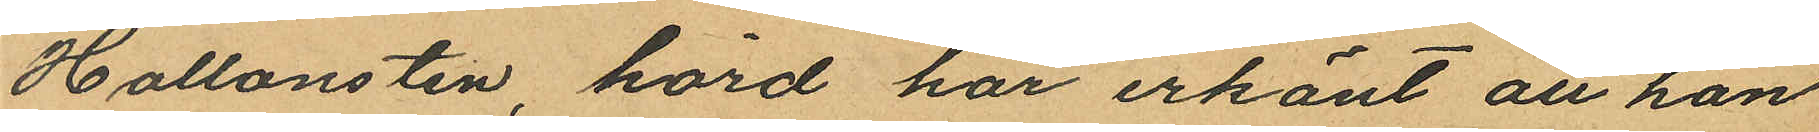Hallonsten, hörd har erkänt att han
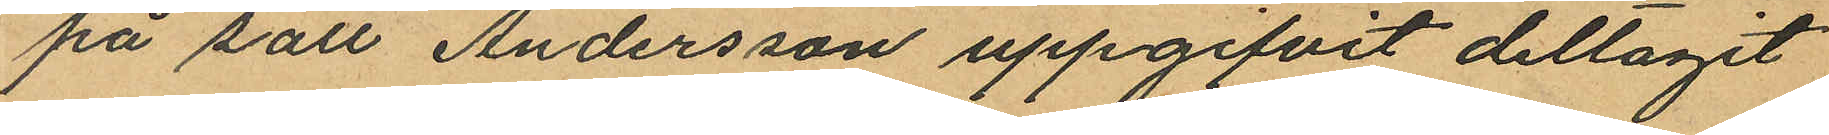på sätt Andersson uppgifvit deltagit
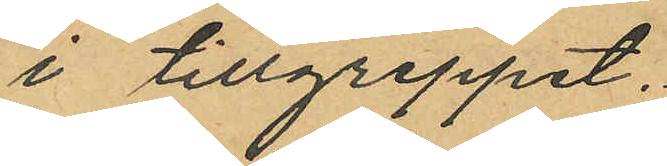i tillgreppet.
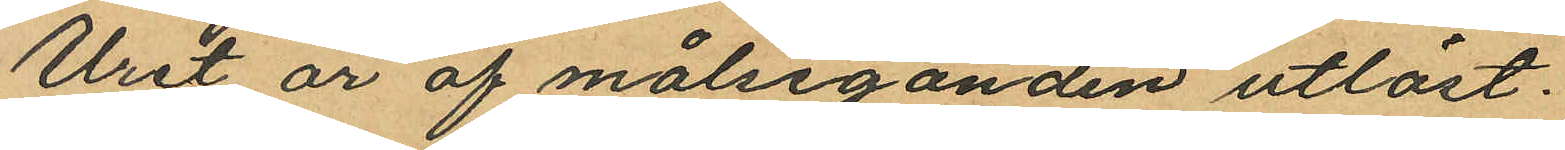Uret är af målseganden utlöst.
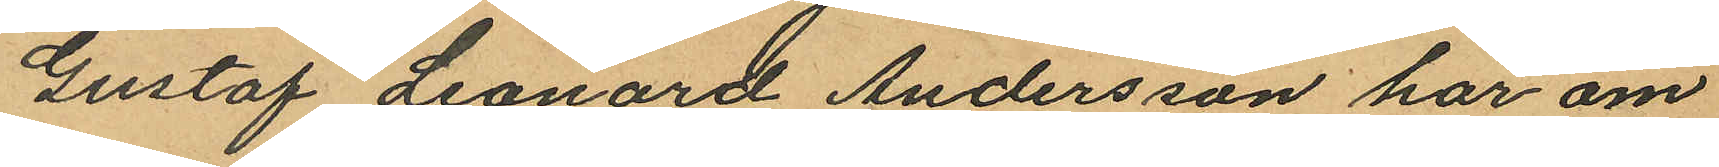Gustaf Leonard Andersson har om
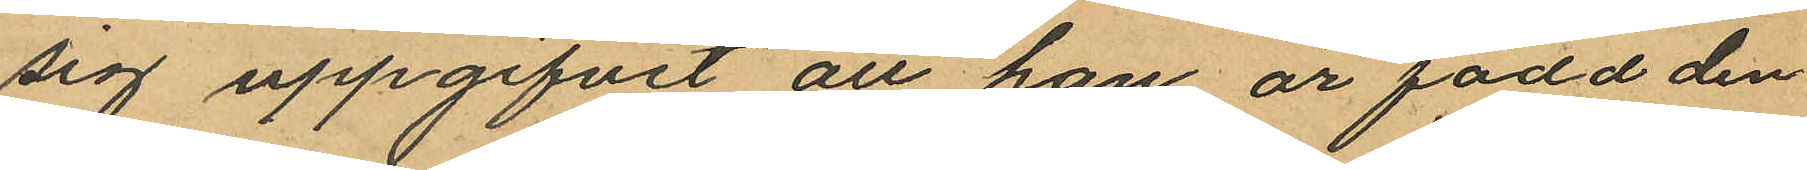sig uppgifvit att han är född den
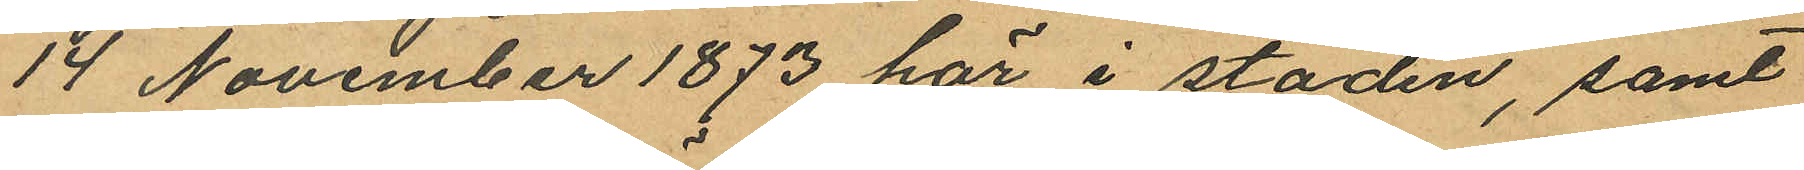14 November 1873 här i staden, samt
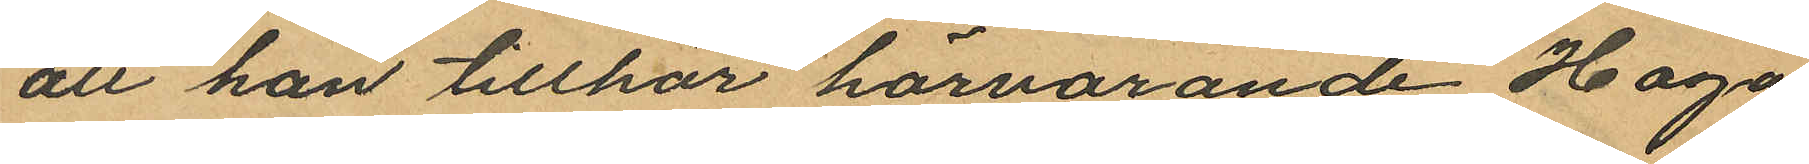att han tillhör härvarande Haga
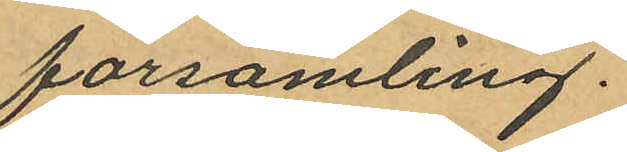församling.
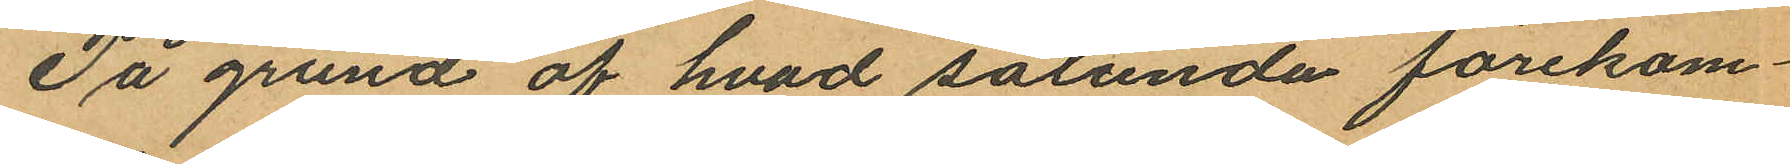På grund af hvad sålunda förekom¬
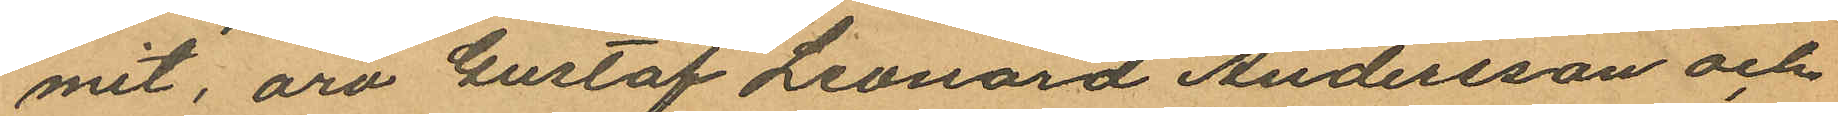mit, äro Gustaf Leonard Andersson och
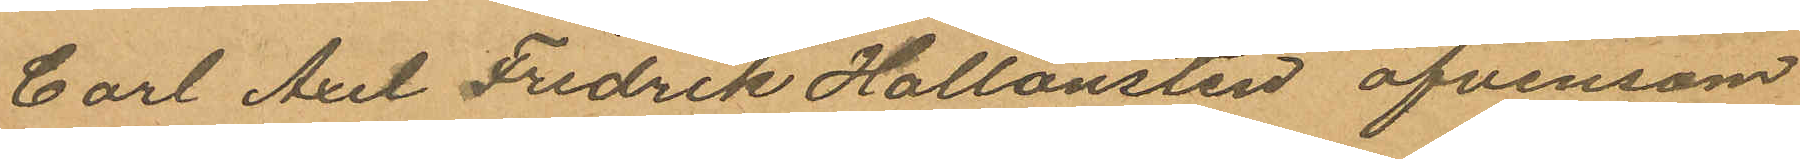Carl Axel Fredrik Hallonsten äfvensom
